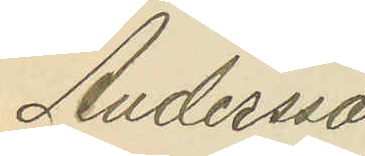Andersson
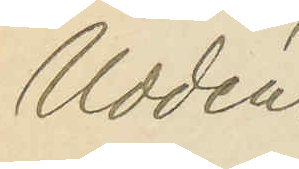Uddén.
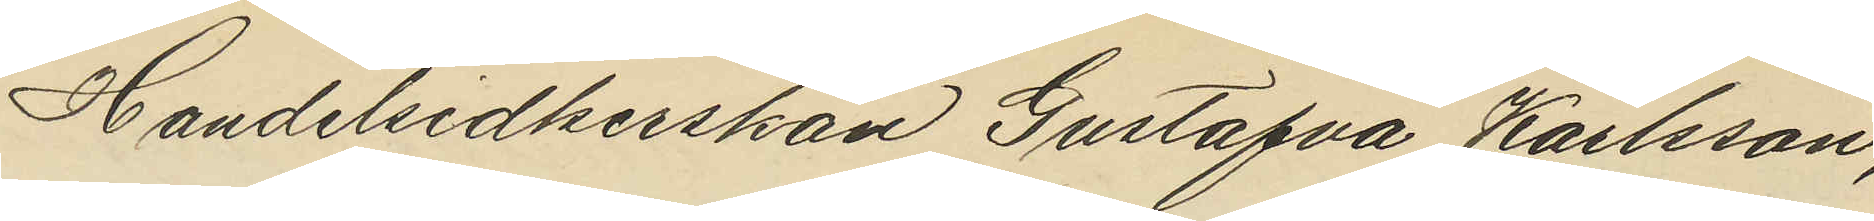Handelsidkerskan Gustafva Karlsson,
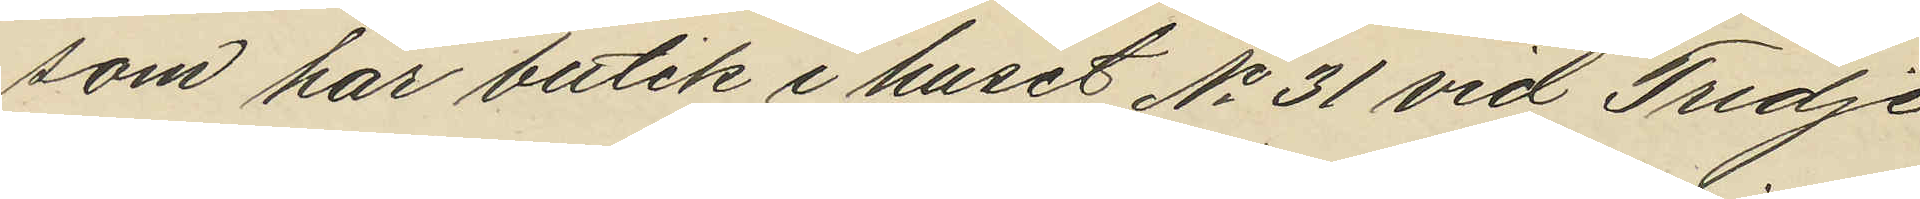som har butik i huset No 31 vid Tredje
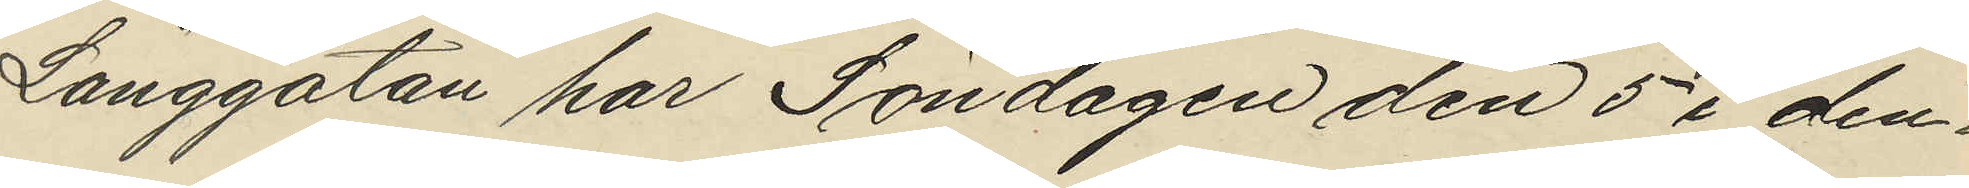Långgatan har Söndagen den 5 i den¬
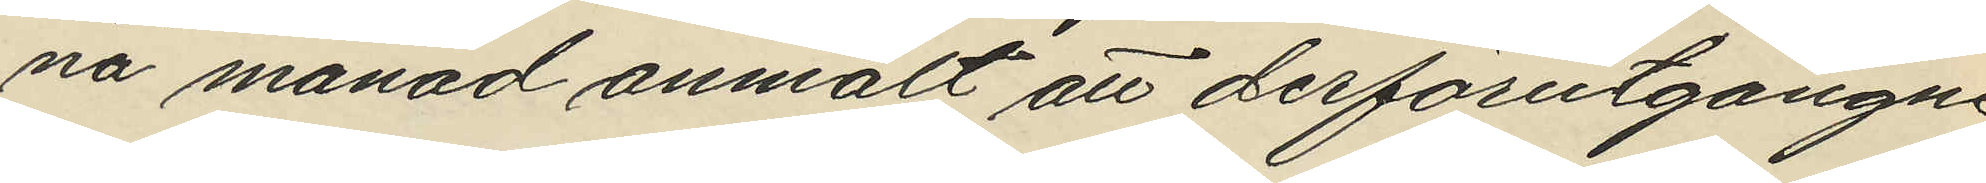na månad anmält att derförutgångne
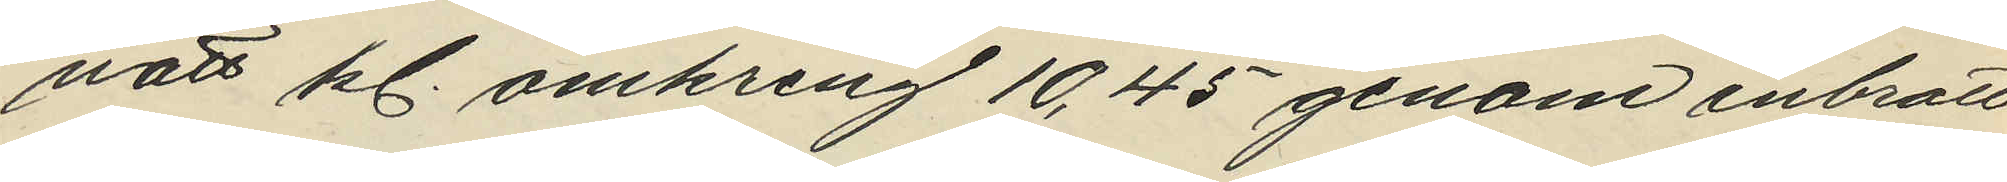natt kl. omkring 10,45 genom inbrott
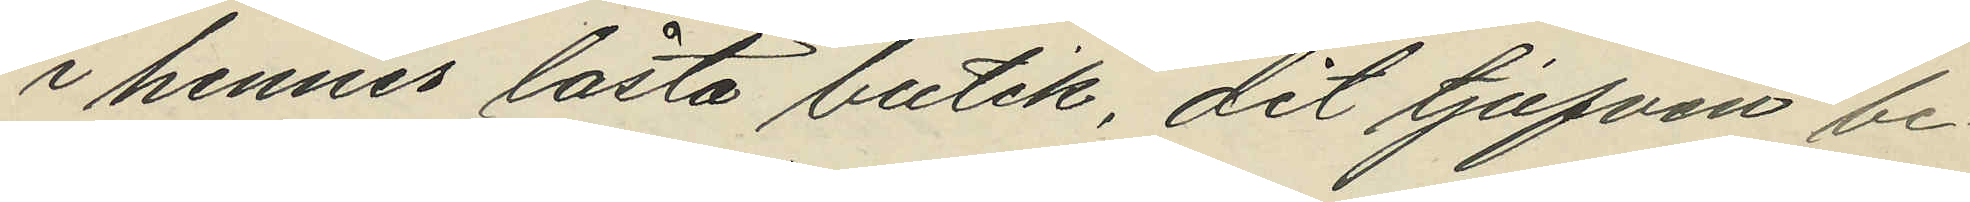i hennes låsta butik, dit tjufven be¬
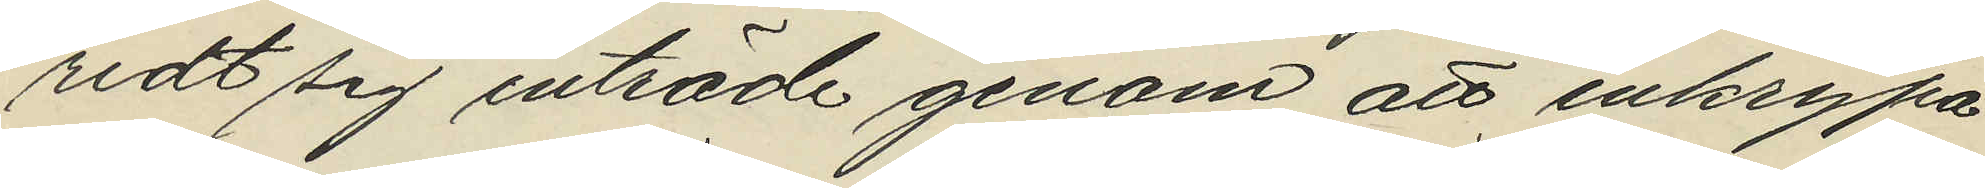redt sig inträde genom att inkrypa
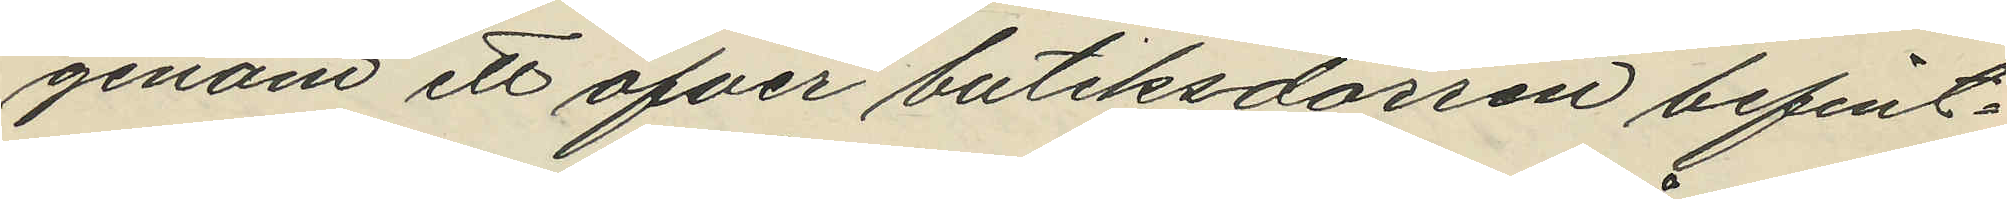genom ett öfver butiksdörren befint¬
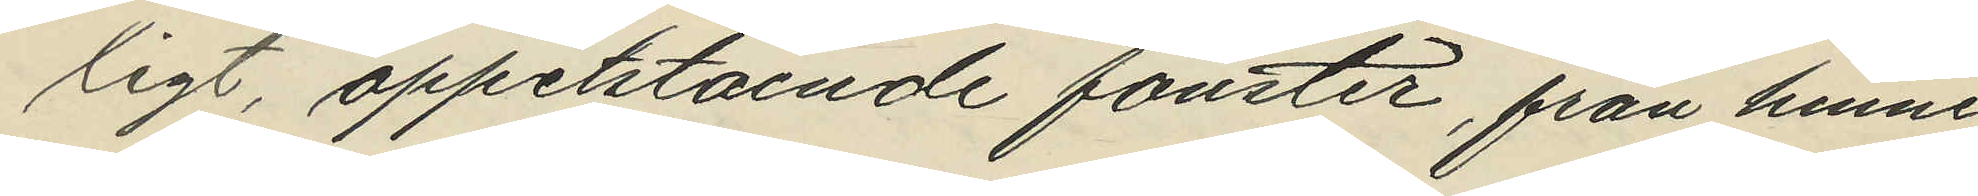ligt, oppetstående fönster, från henne
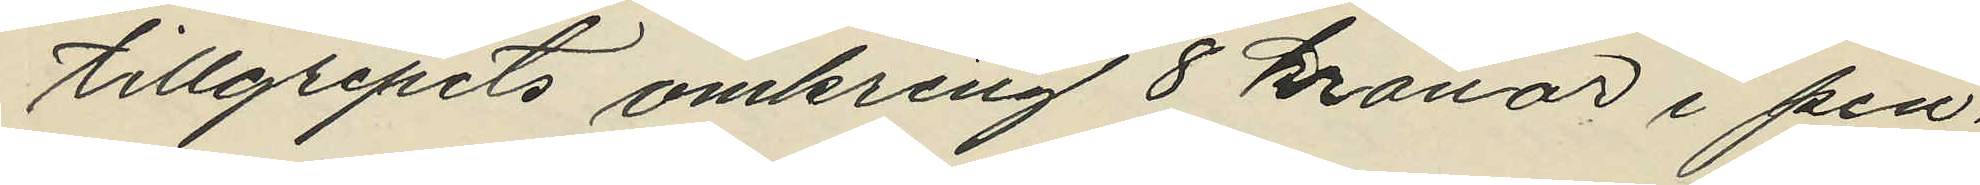tillgripits omkring 8 kronor i pen¬
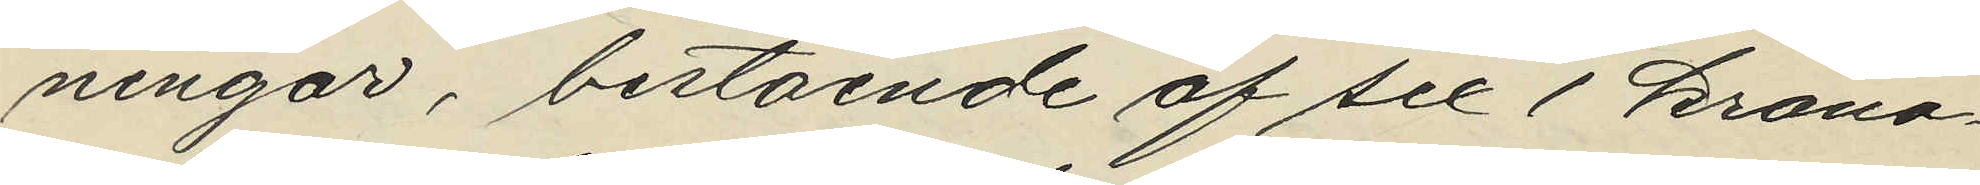ningar, bestående af sex 1 krono¬
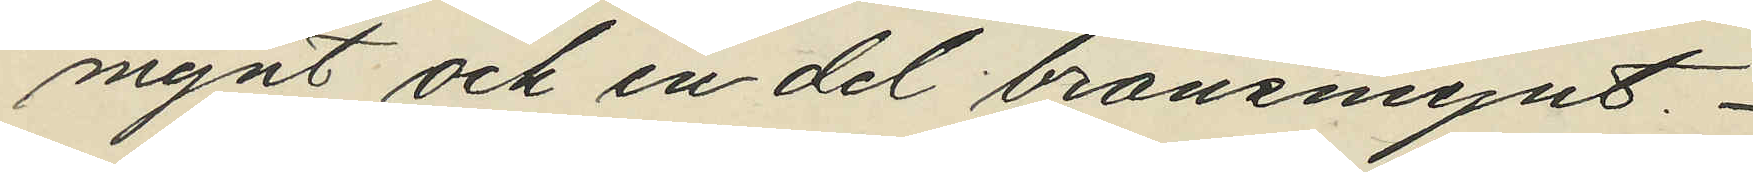mynt och en del bronsmynt.
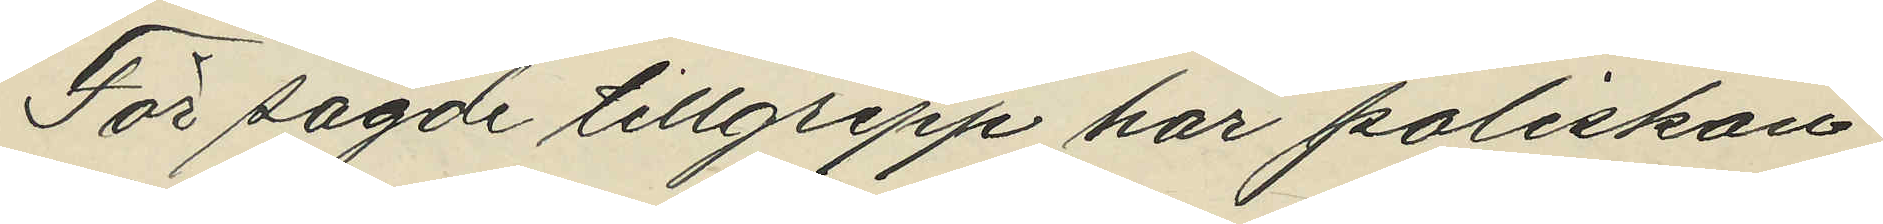För sagde tillgrepp har poliskon¬
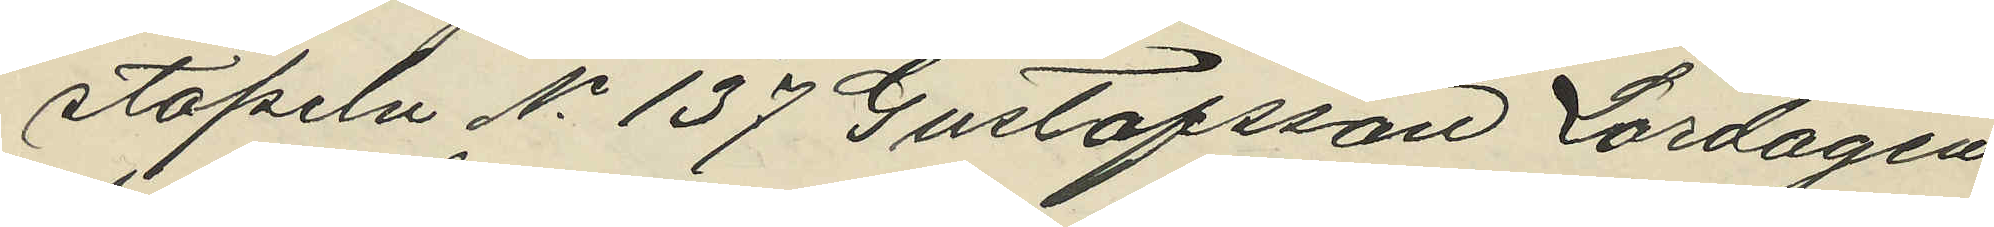stapeln No 137 Gustafsson Lördagen
